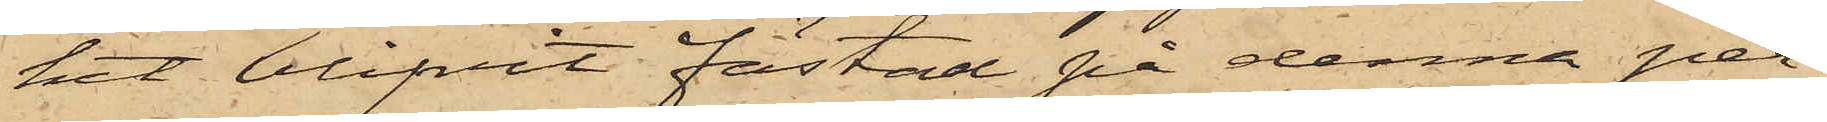het blifvit fästad på denna per¬
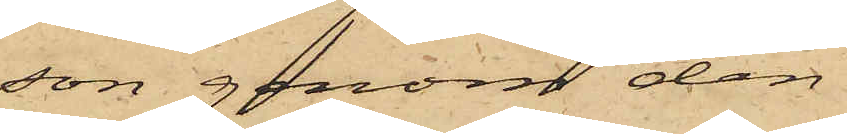son genom den
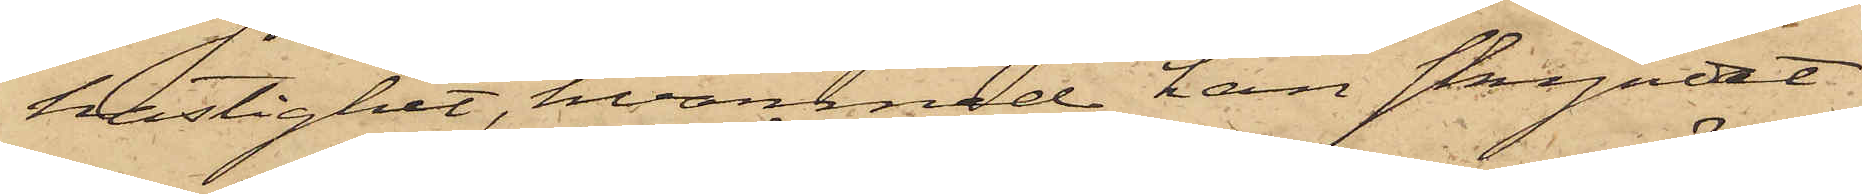hastighet, hvarmed han skyndat
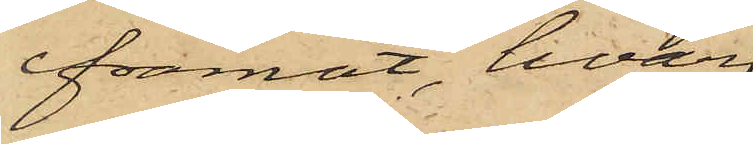framåt, hvar¬
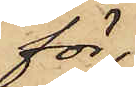för
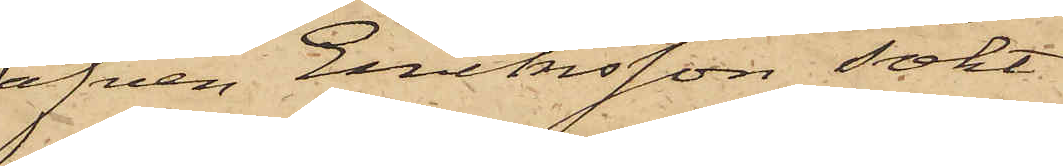äfven Eriksson sökt
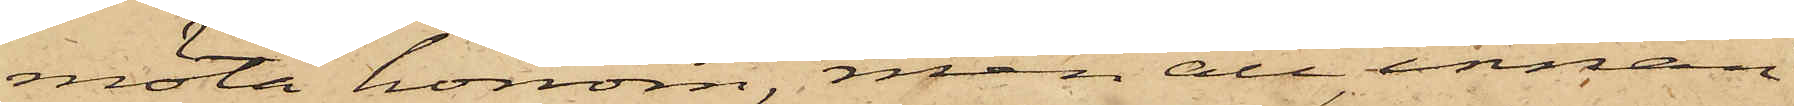möta honom, men att, innan
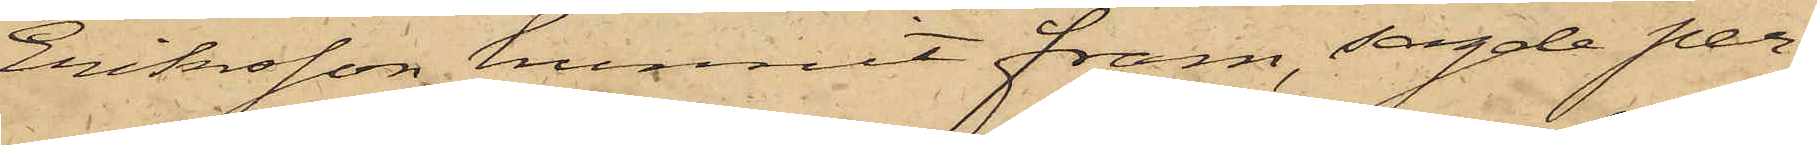Eriksson hunnit fram, sagde per¬
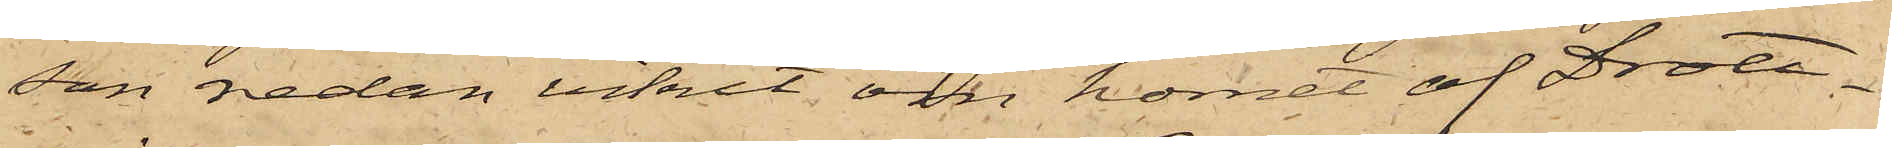son redan vikit om hörnet af Drott¬
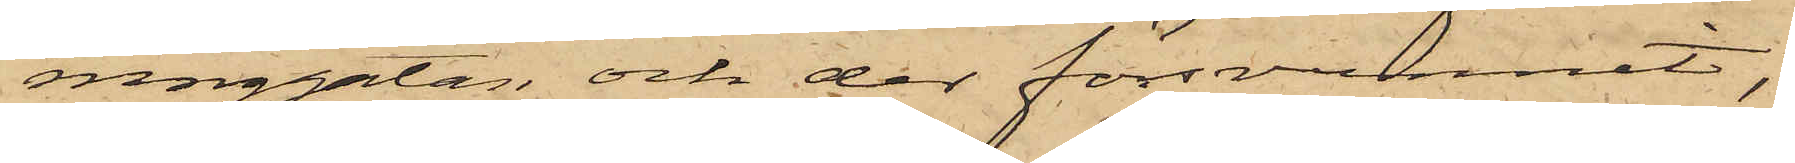ninggatan och der försvunnit;
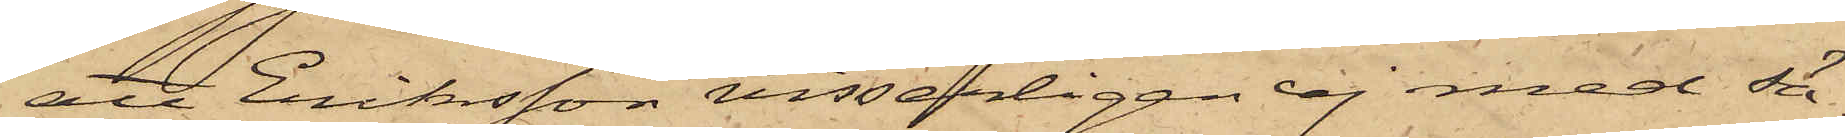att Eriksson visserligen ej med sä¬
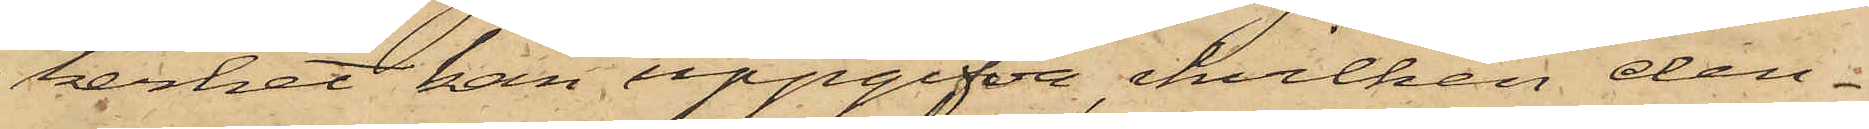kerhet kan uppgifva, hvilken den¬
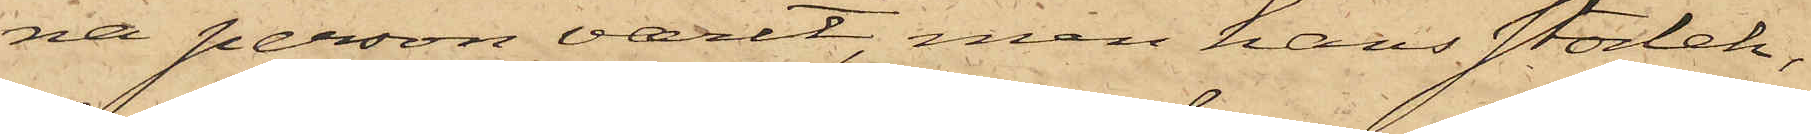na person varit, men hans storlek,
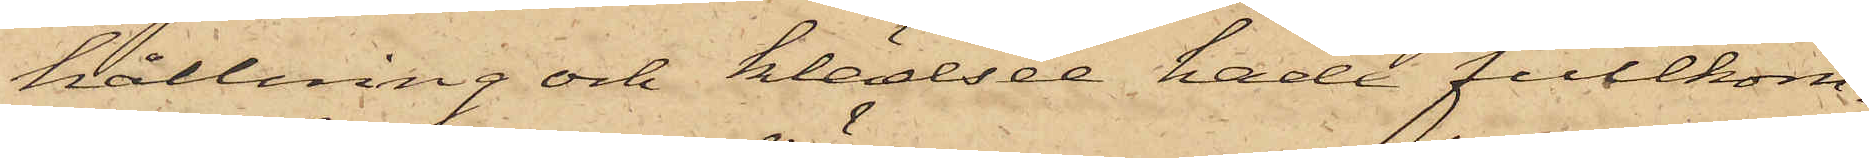hållning och klädsel hade fullkom¬
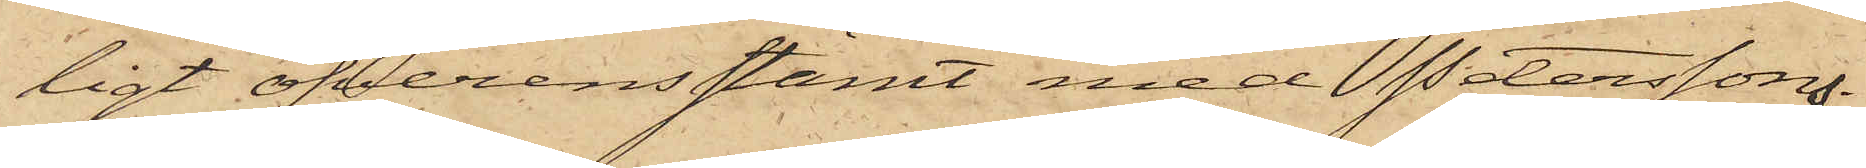ligt öfverensstämt med Peterssons.
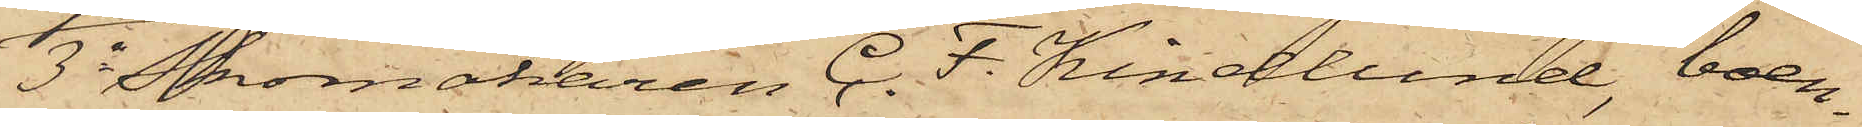3o Skomakaren C. F. Kindlund, boen¬
